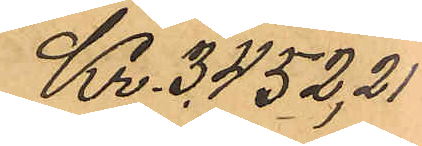Kr. 3.452,21
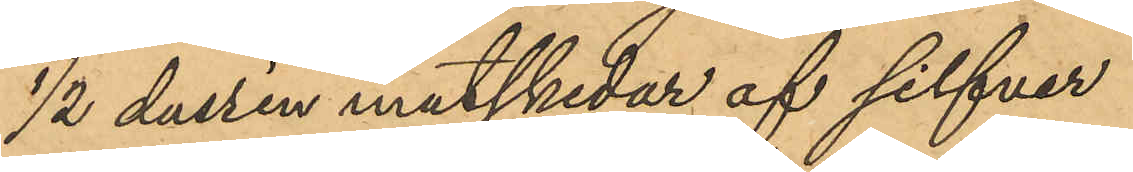1/2 dussin matskedar af silfver
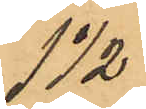1 1/2
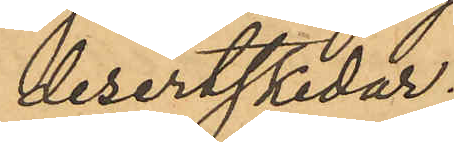desertskedar.
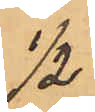1/2
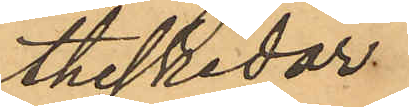theskedar.
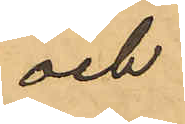och
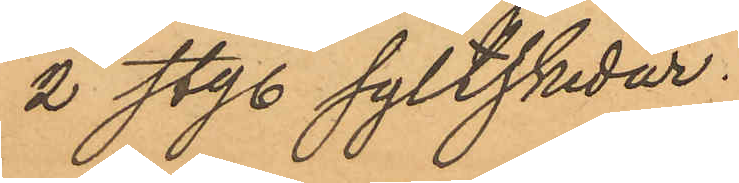2 sty. syltskedar.
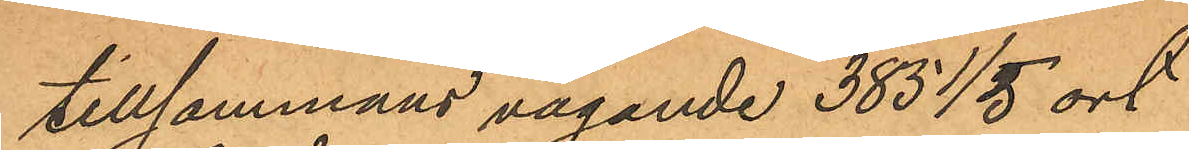tillsammans vägande 385 1/5 ort
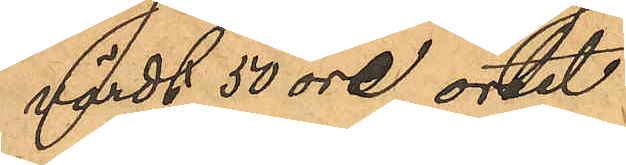värdt 50 öre ortet
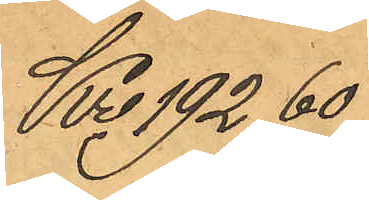Kr 192,60
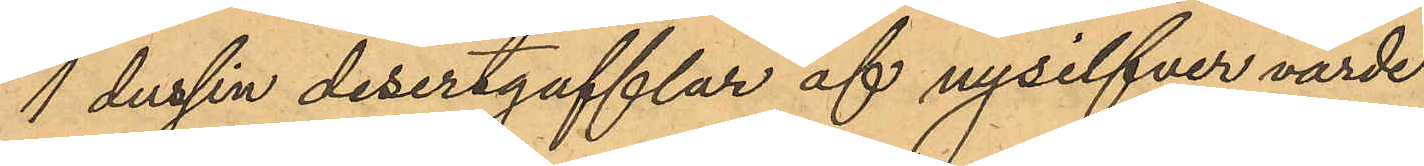1 dussin desertgafflar af nysilfver värde
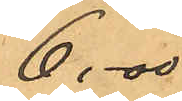6,00
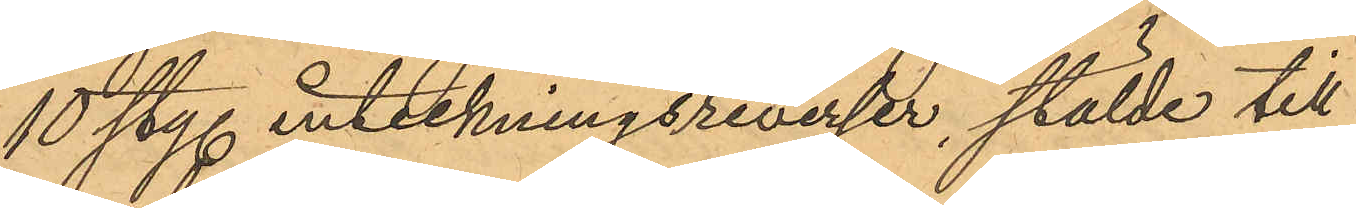10 sty. inteckningsreverser, stälde till
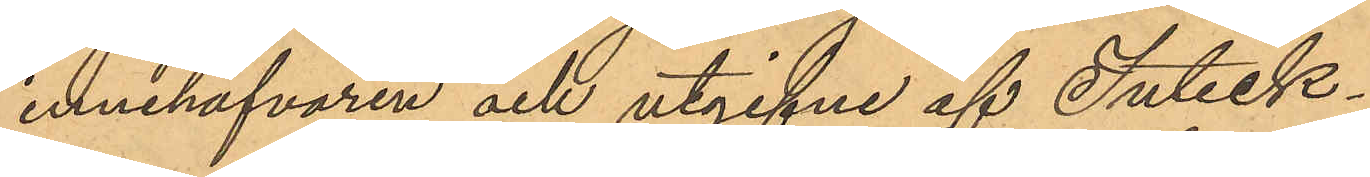innehafvaren och utgifne af Inteck¬
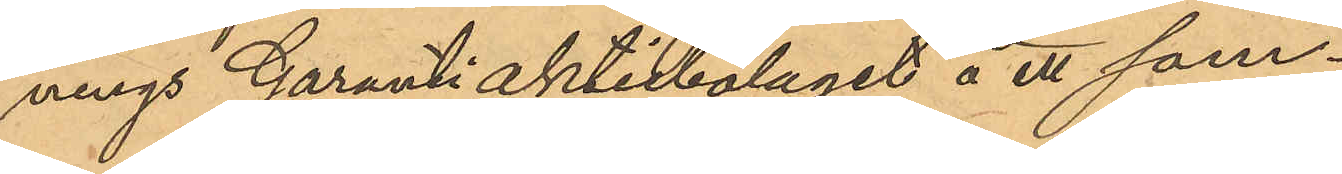nings Garanti aktiebolaget å ett sam¬
